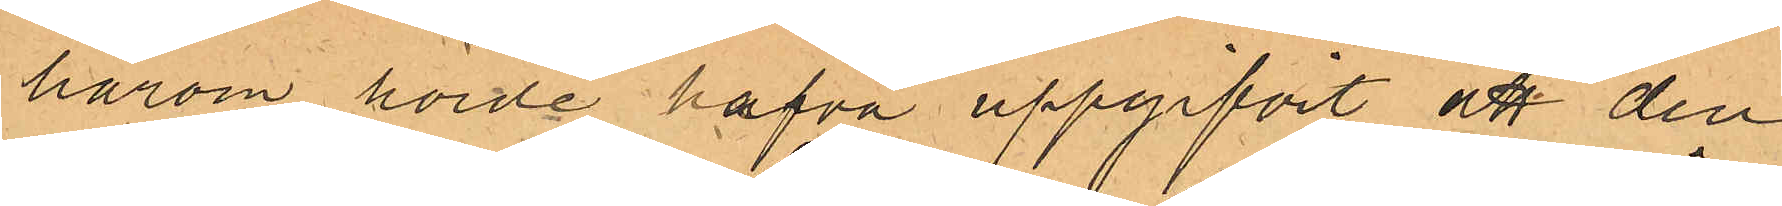härom hörde hafva uppgifvit att den
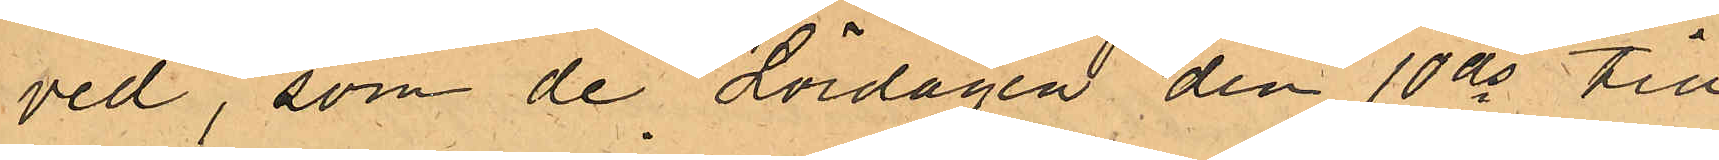ved, som de Lördagen den 10 ds till
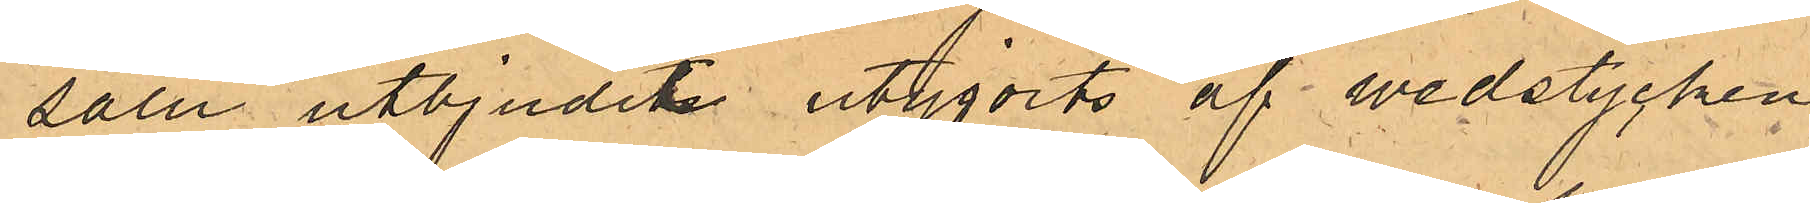salu utbjudit utgjorts af wedstycken,
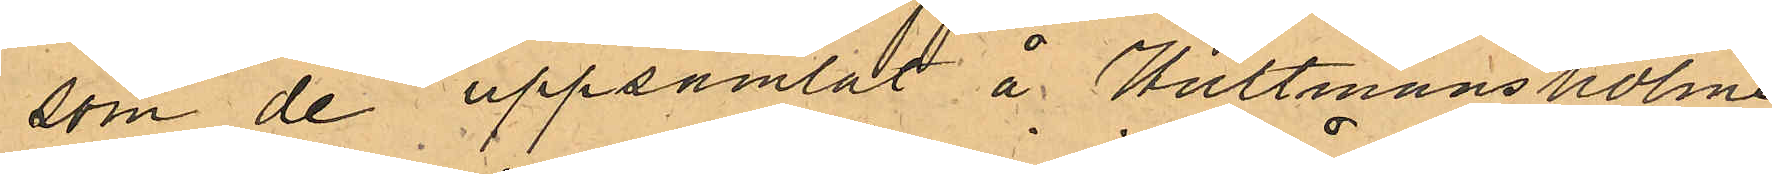som de uppsamlat å Hultmansholme
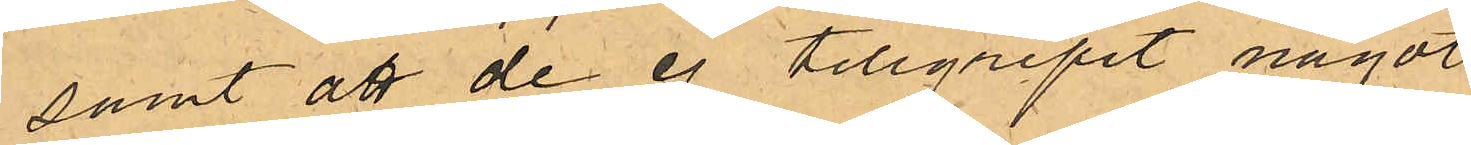samt att de ej tillgripit något
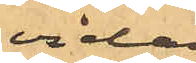vidare
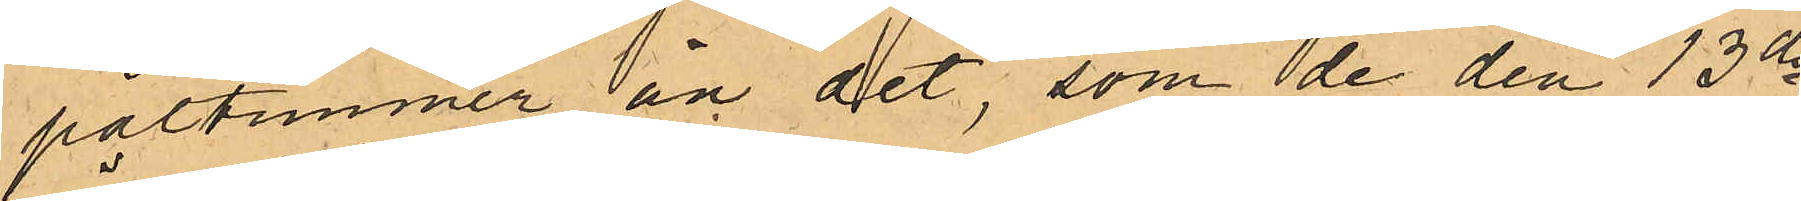påltimmer än det, som de den 13 ds
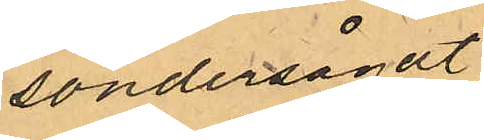söndersågat.
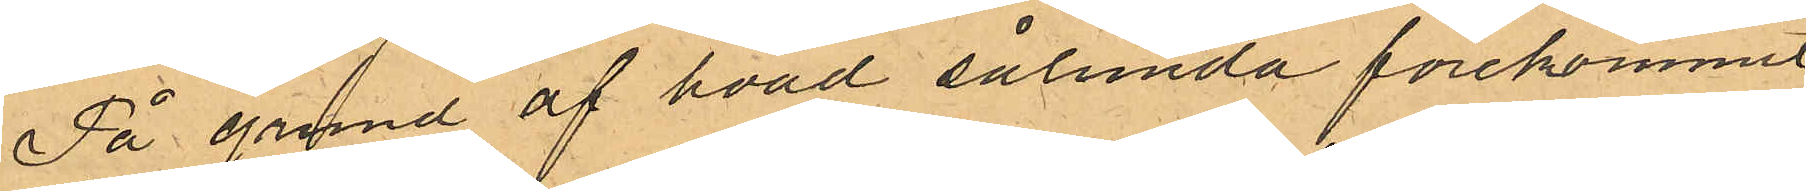På grund af hvad sålunda förekommit,
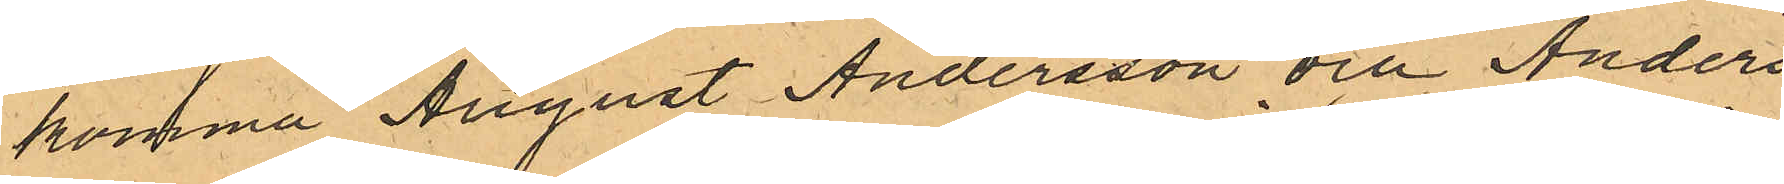komma August Andersson och Anders
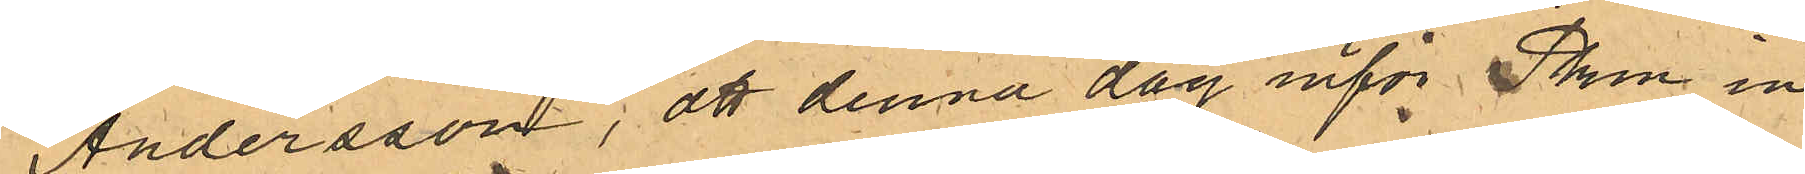Andersson, att denna dag inför Pkn in¬
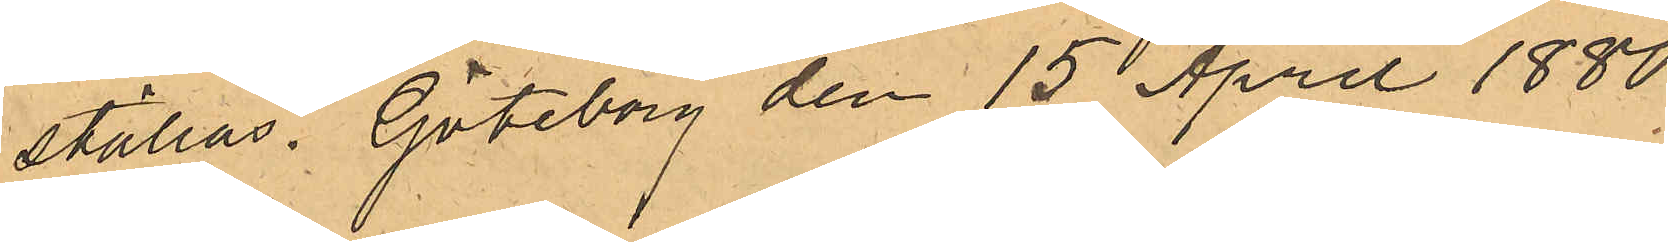ställas. Göteborg den 15 April 1880.
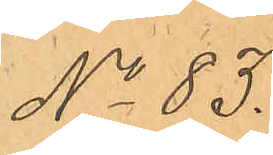No 83.
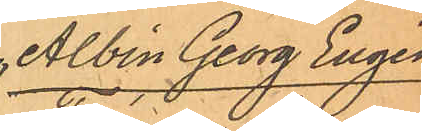Albin Georg Eugén
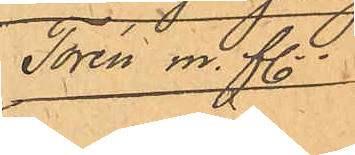Torén m.fl.
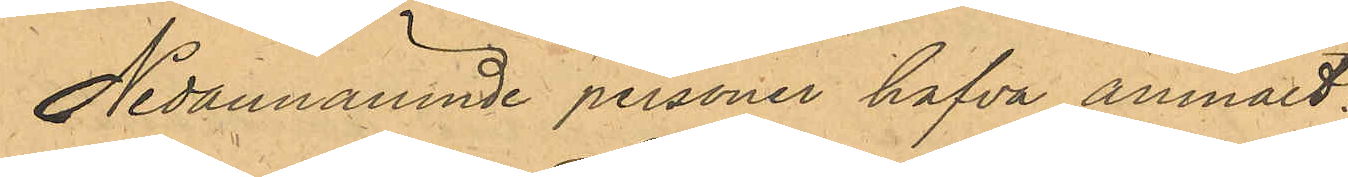Nedannämnde personer hafva anmält:
